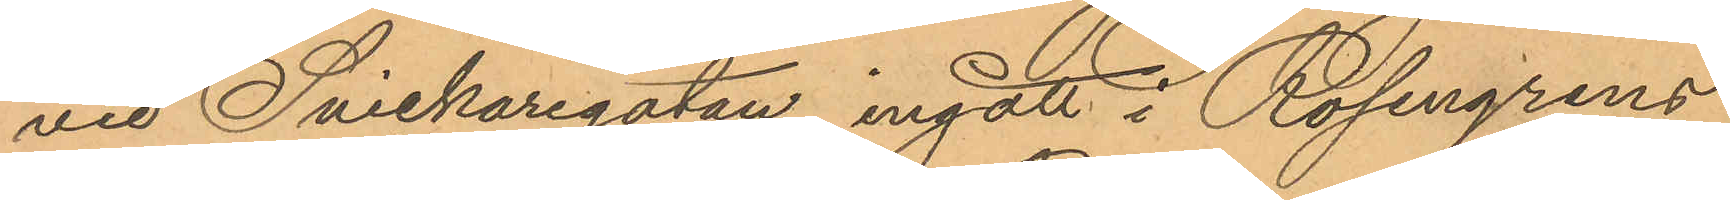vid Snickaregatan, ingått i Rosengrens
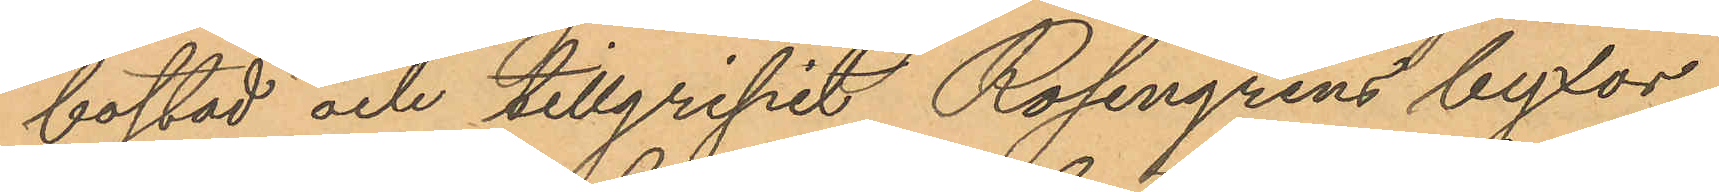bostad och tillgripit Rosengrens byxor,
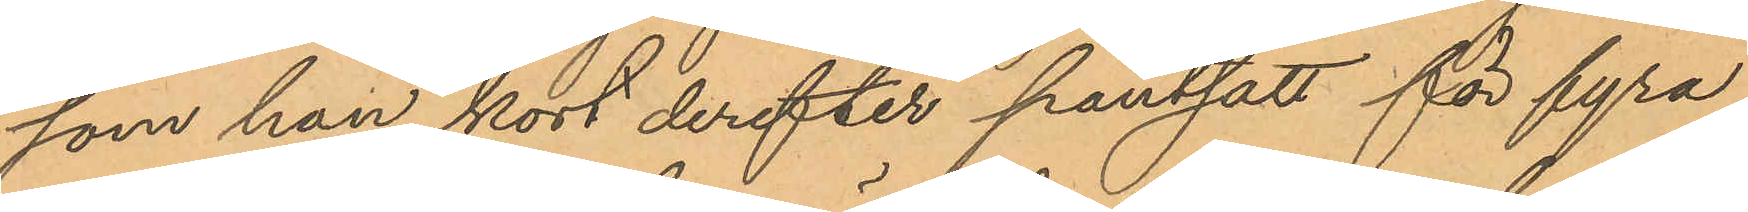som han kort derefter pantsatt för fyra
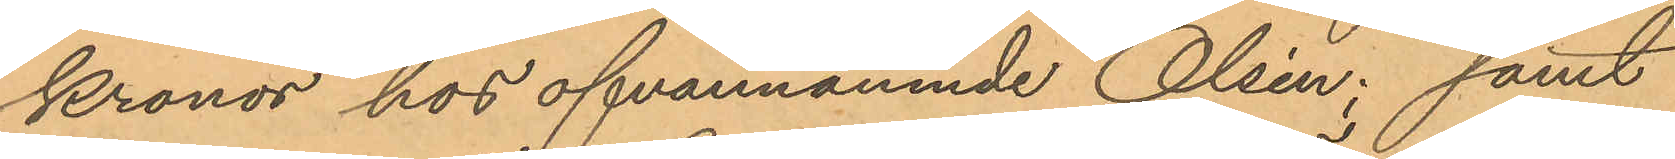Kronor hos ofvannämnde Olsén; samt
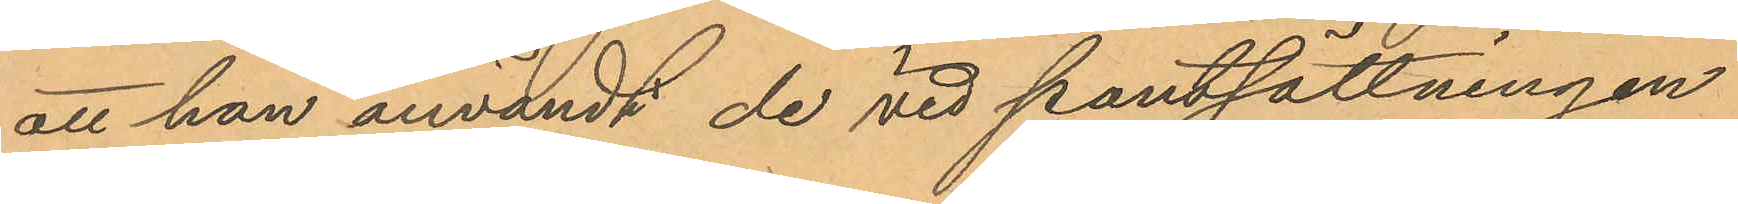att han användt de vid pantsättningen
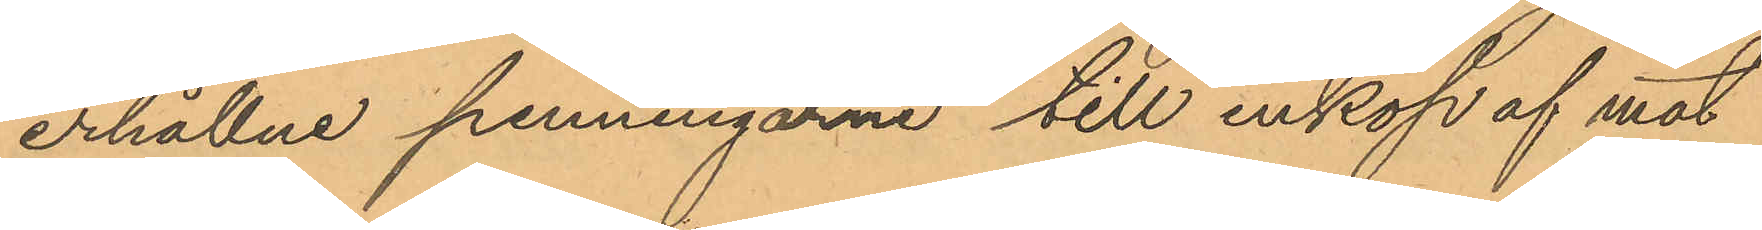erhållne penningarne till inköp af mat
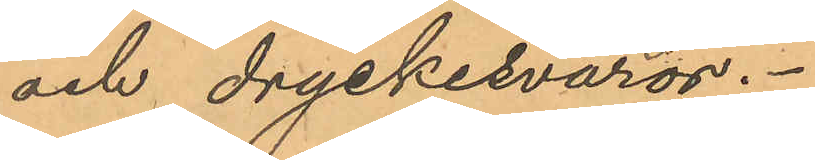och dryckesvaror.
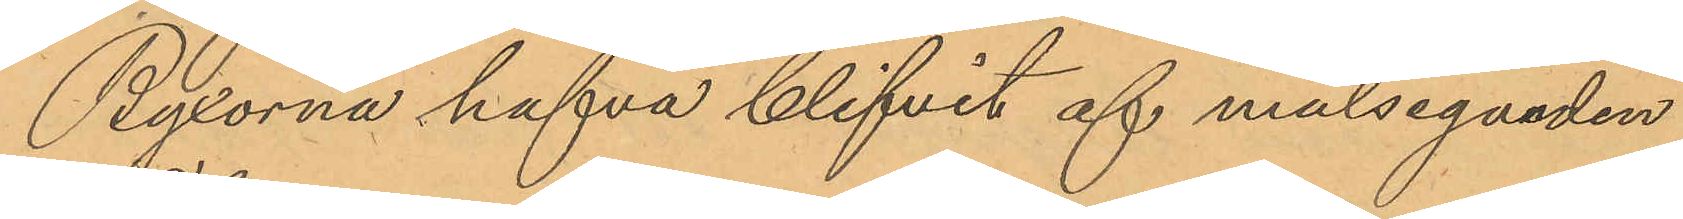Byxorna hafva blifvit af målsegnaden
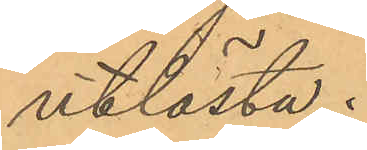utlösta.
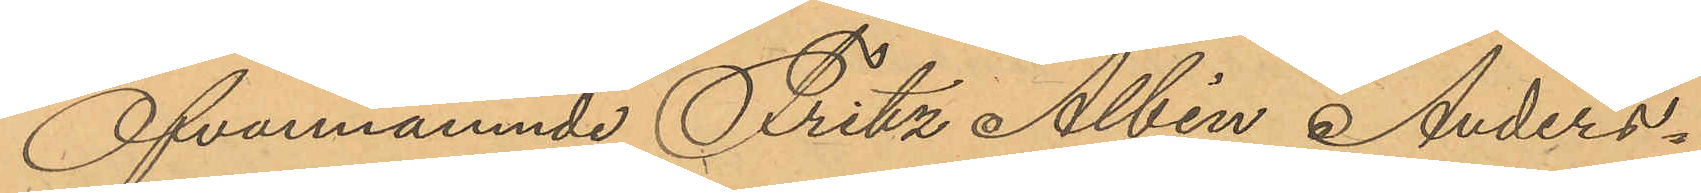Ofvannämnde Fritz Albin Anders¬
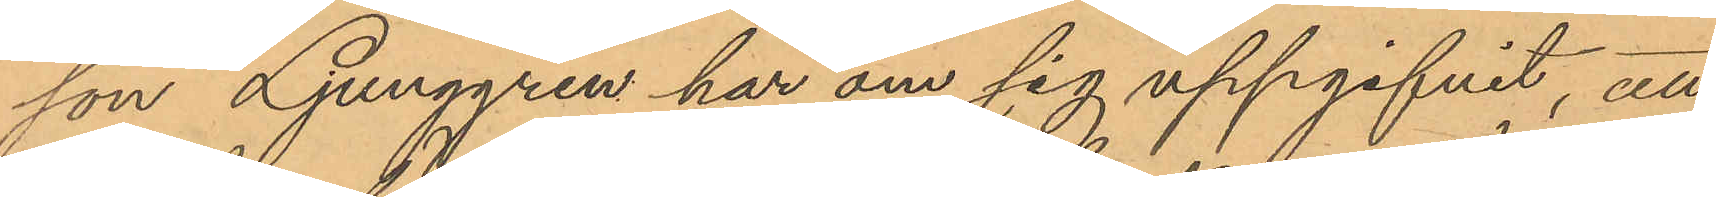son Ljunggren har om sig uppgifvit, att
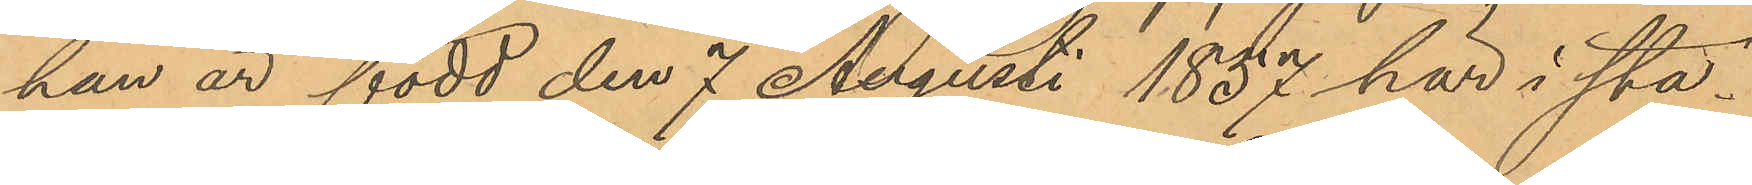han är född den 7 Augusti 1857 här i sta¬
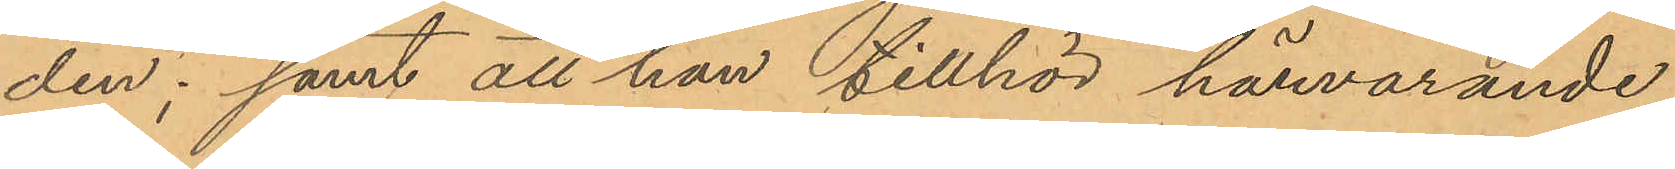den; samt att han tillhör härvarande
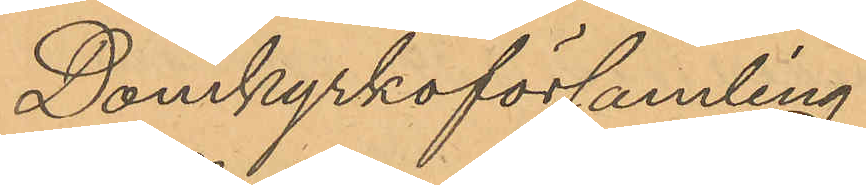Domkyrkoförsamling.
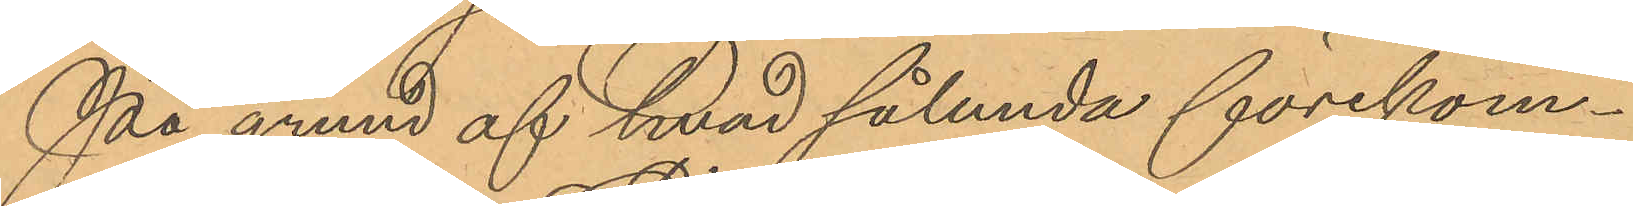På grund af hvad sålunda förekom¬
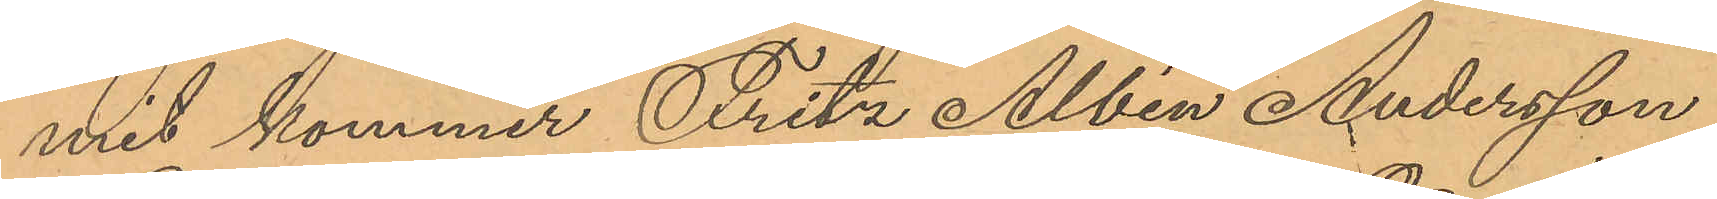mit kommer Fritz Albin Andersson
